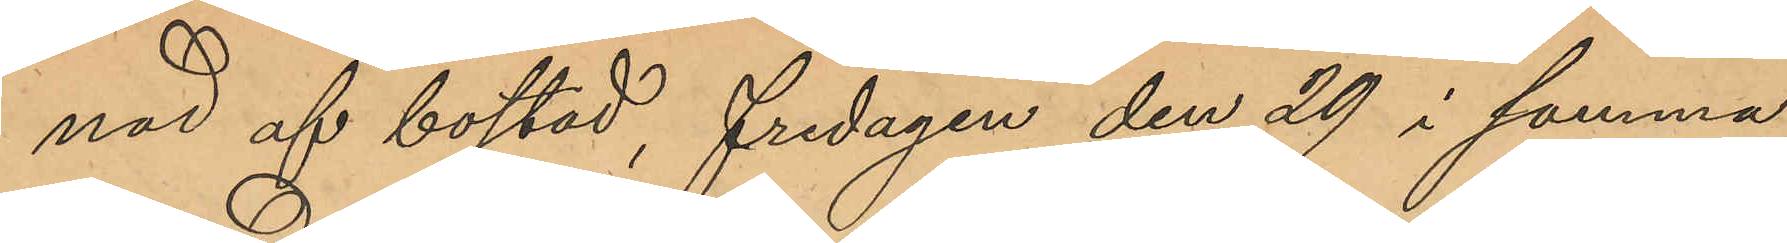nad af bostad, Fredagen den 29 i samma
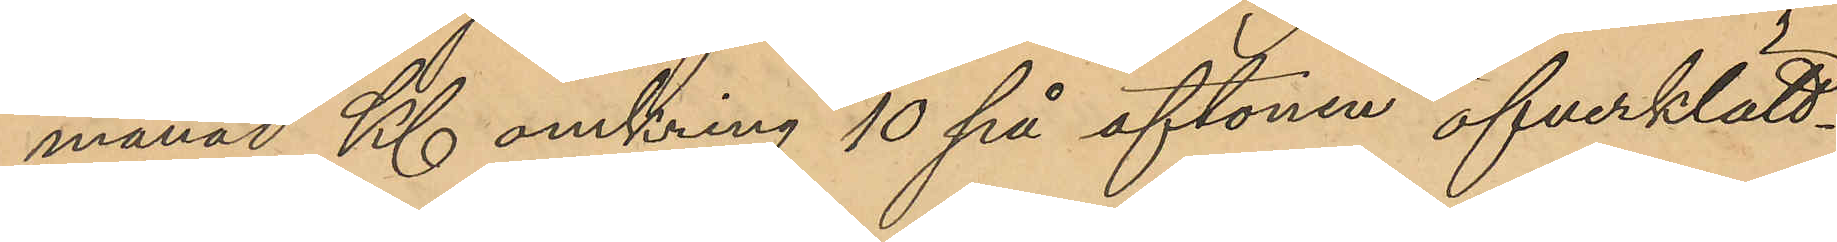månad Kl omkring 10 på aftonen öfverklätt¬
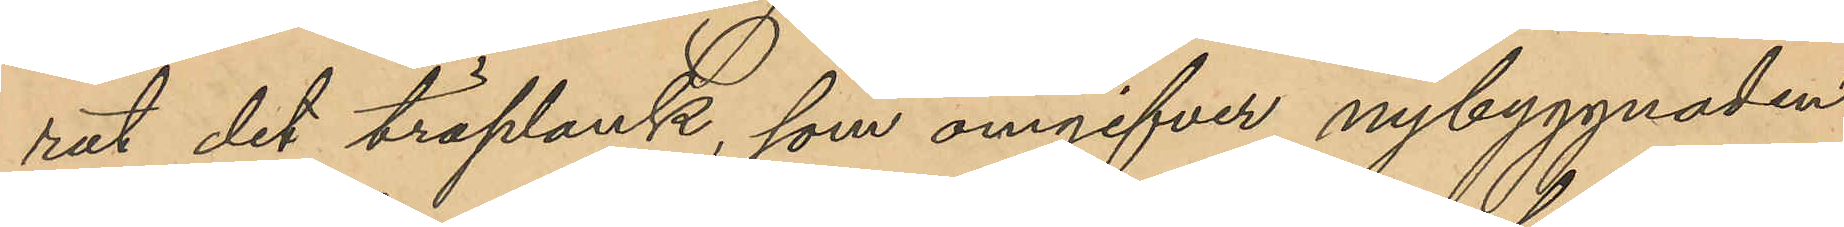rat det träplank, som omgifver nybyggnaden
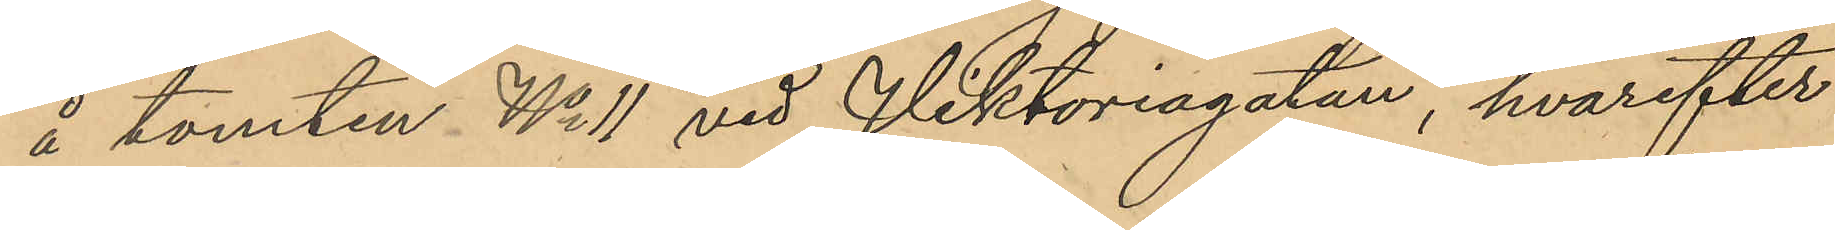å tomten No 11 vid Viktoriagatan, hvarefter
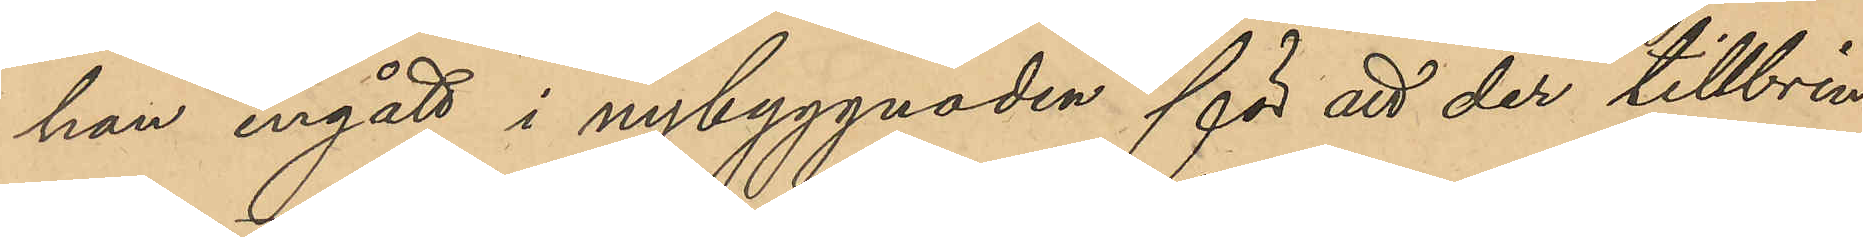han ingått i nybyggnaden för att der tillbrin¬
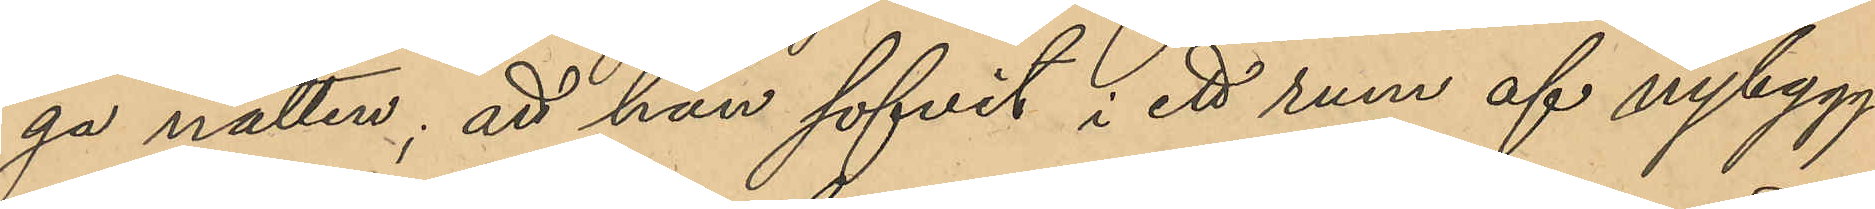ga natten; att han sofvit i ett rum af nybygg¬
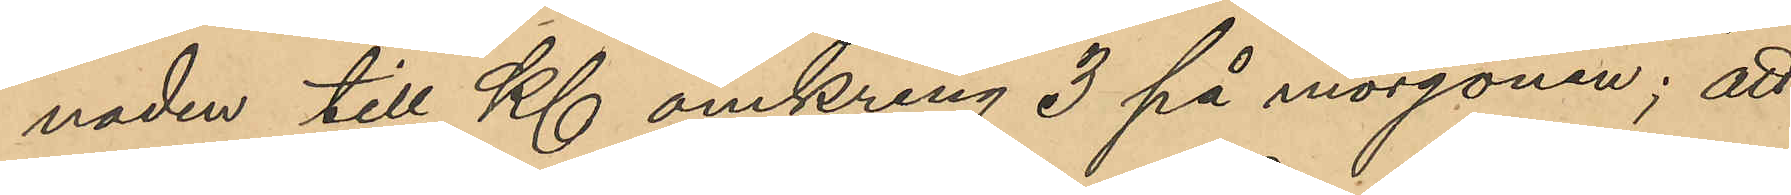naden till Kl omkring 3 på morgonen; att
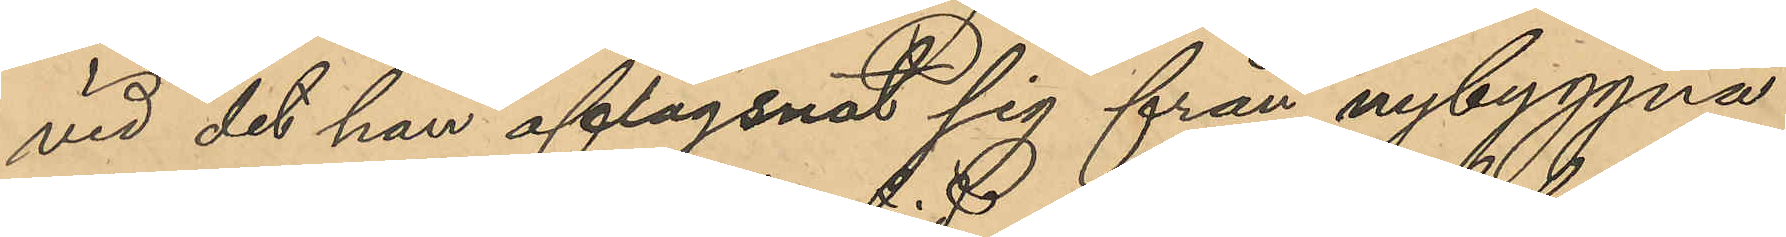vid det han aflägsnat sig från nybyggna¬
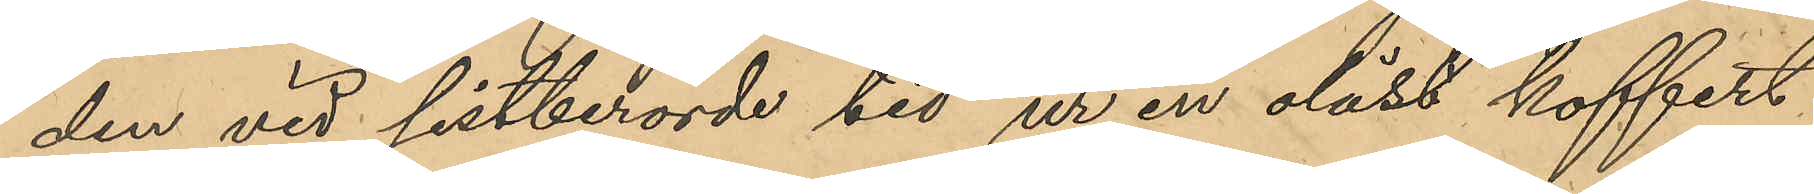den vid sistberörde tid ur en olåst koffert
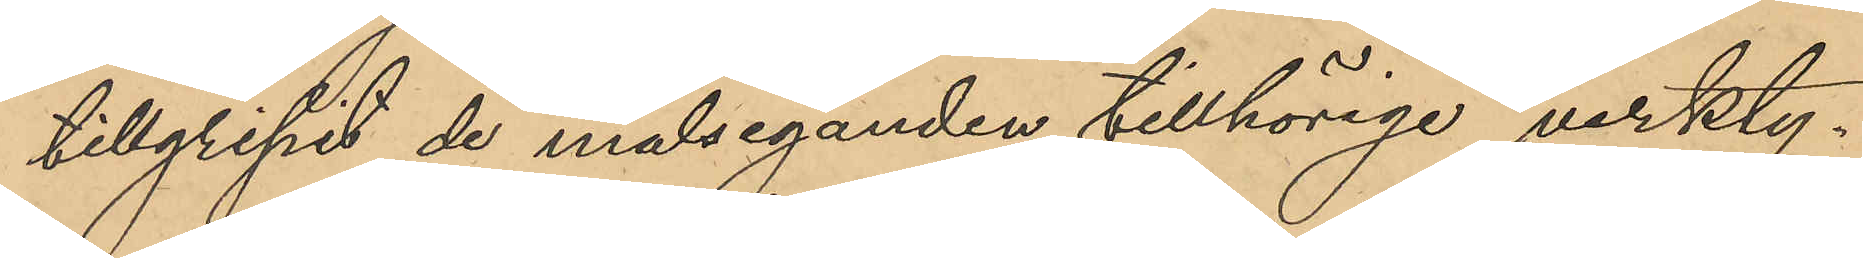tillgripit de målseganden tillhörige verkty¬
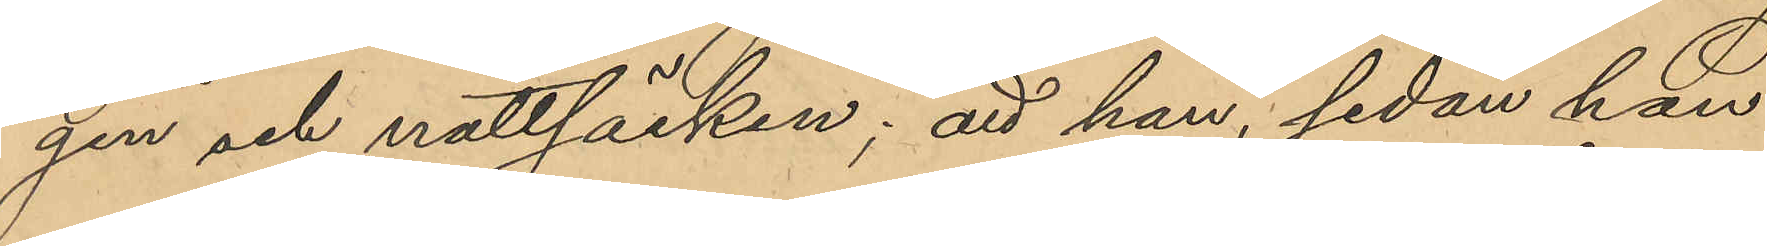gen och nattsäcken; att han, sedan han
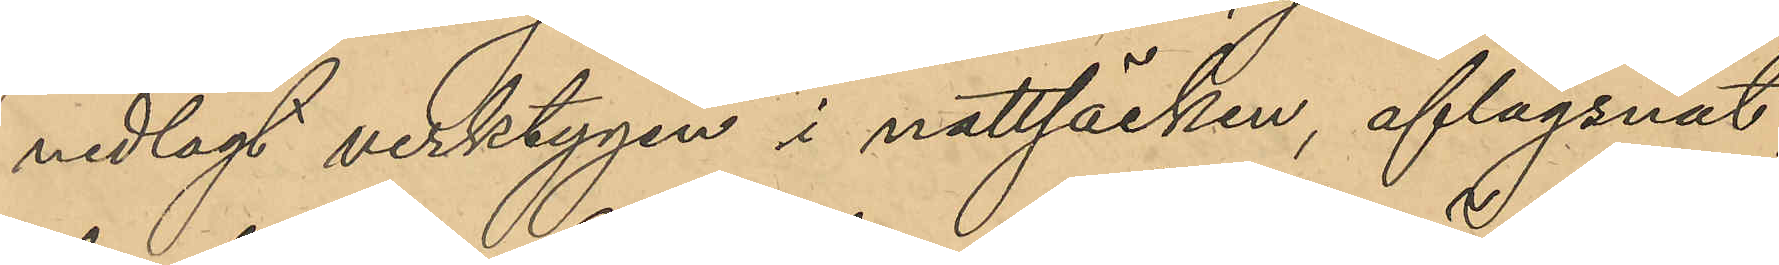nedlagt verktygen i nattsäcken, aflägsnat
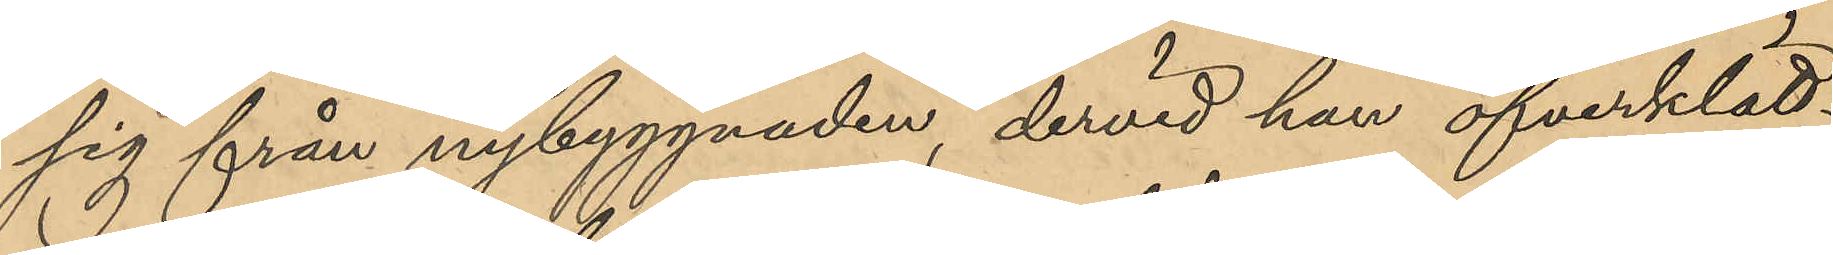sig från nybyggnaden, dervid han öfverklätt¬
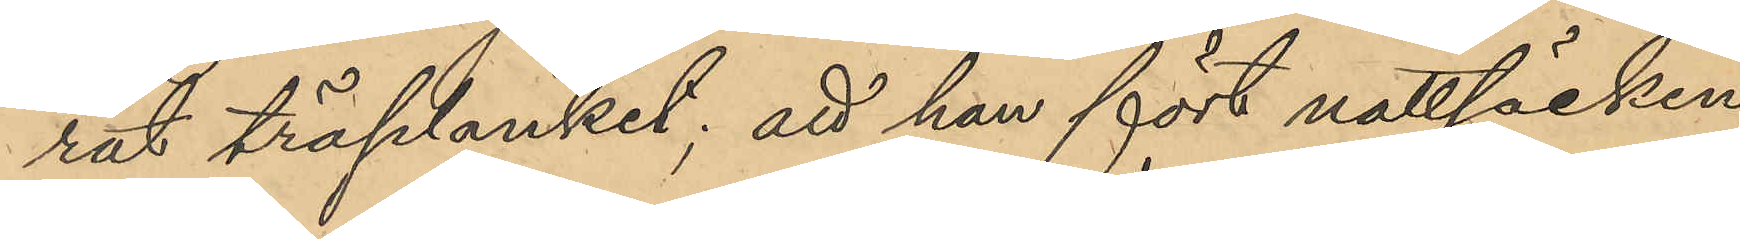rat träplanket; att han fört nattsäcken
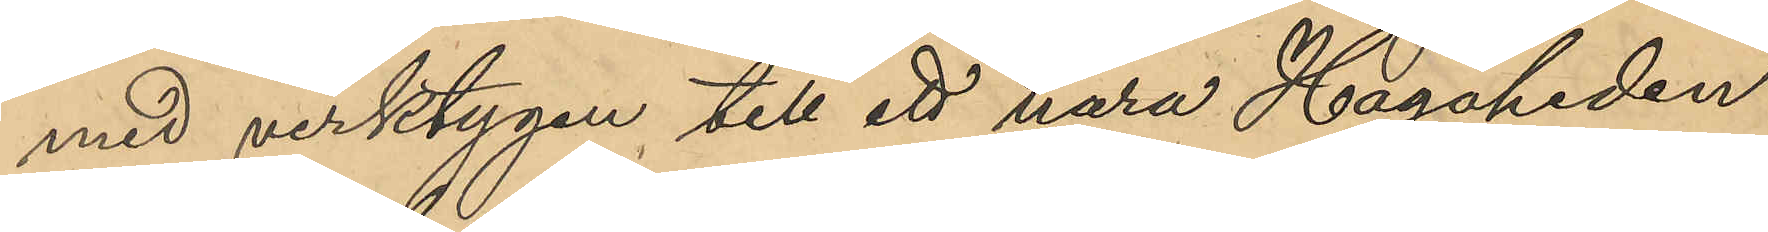med verktygen till ett nära Hagaheden
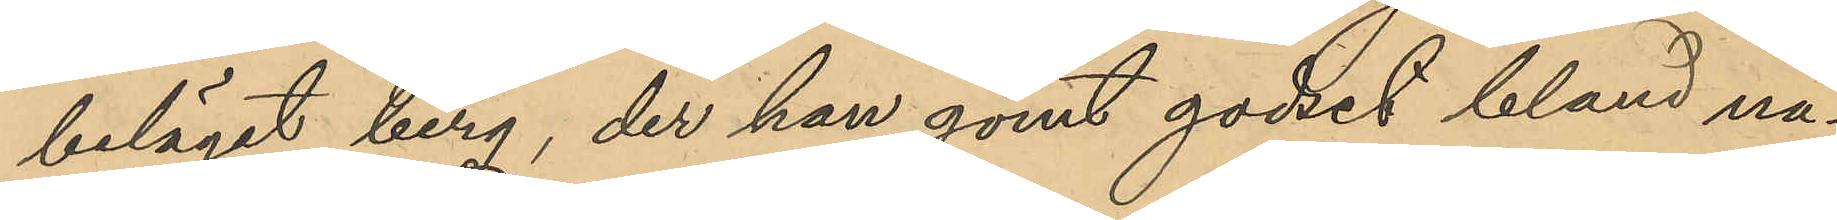beläget berg, der han gömt godset bland nå¬
